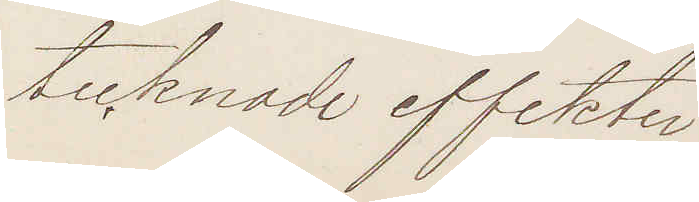tecknade effekter
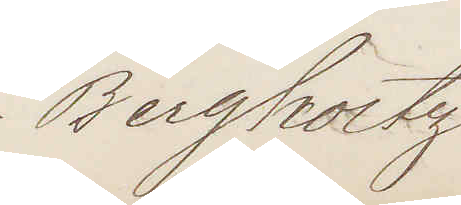Bergholtz
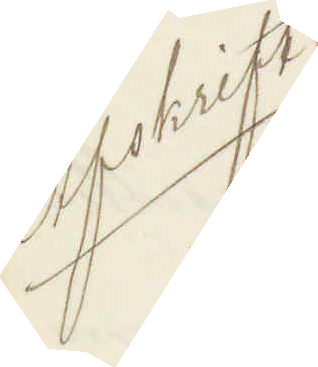Afskrift
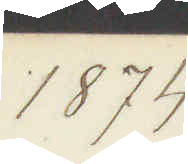1874.
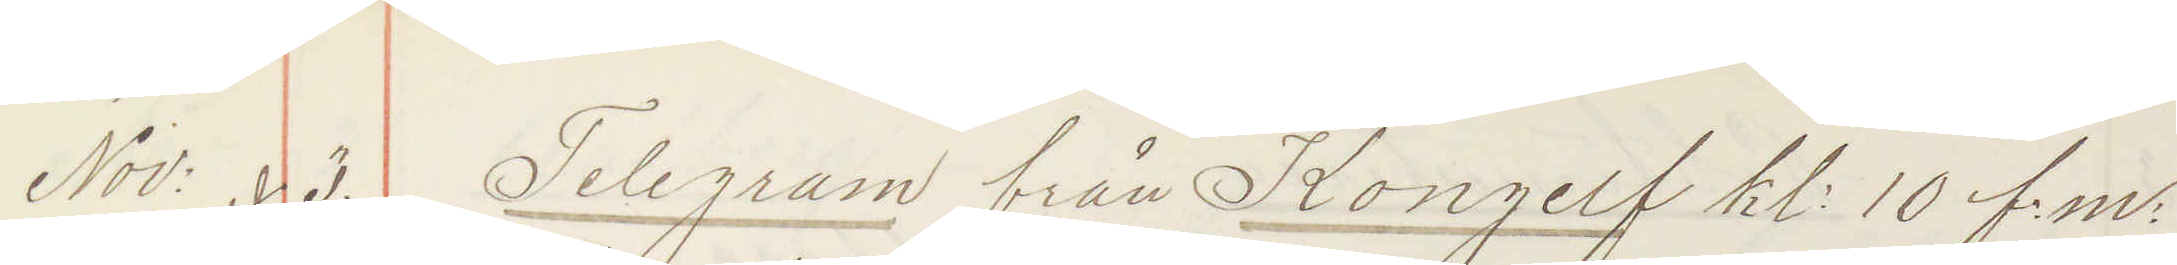Nov: 3. Telegram från Kongelf kl: 10 f: m: 
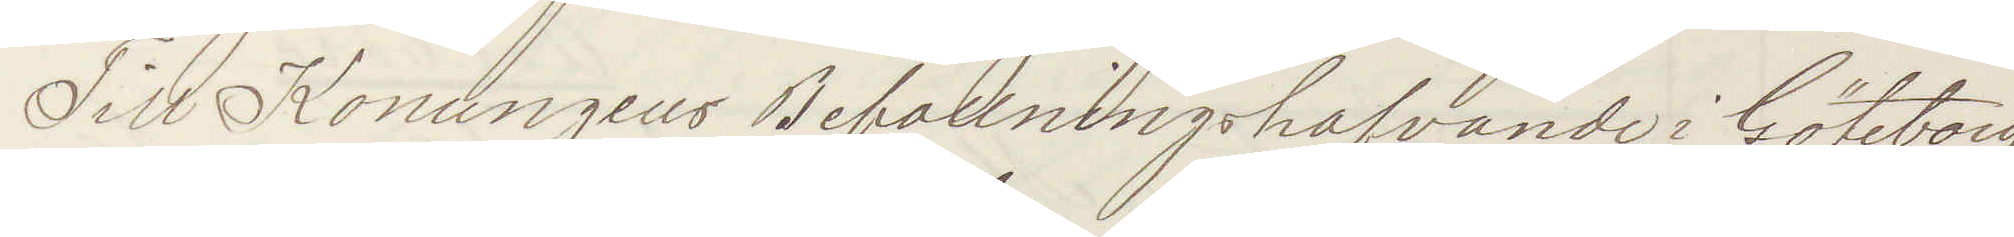Till Konungens Befallningshafvande i Göteborg
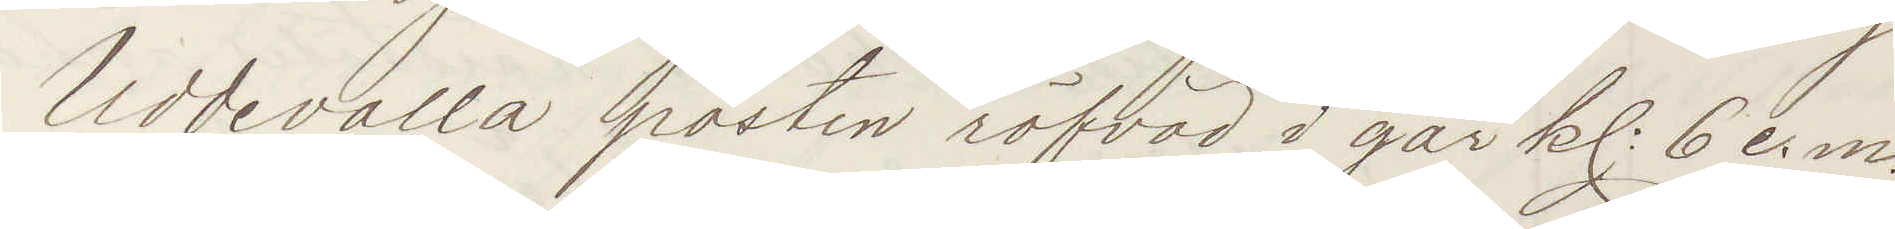Uddevalla posten röfvad igår kl: 6 e. m.
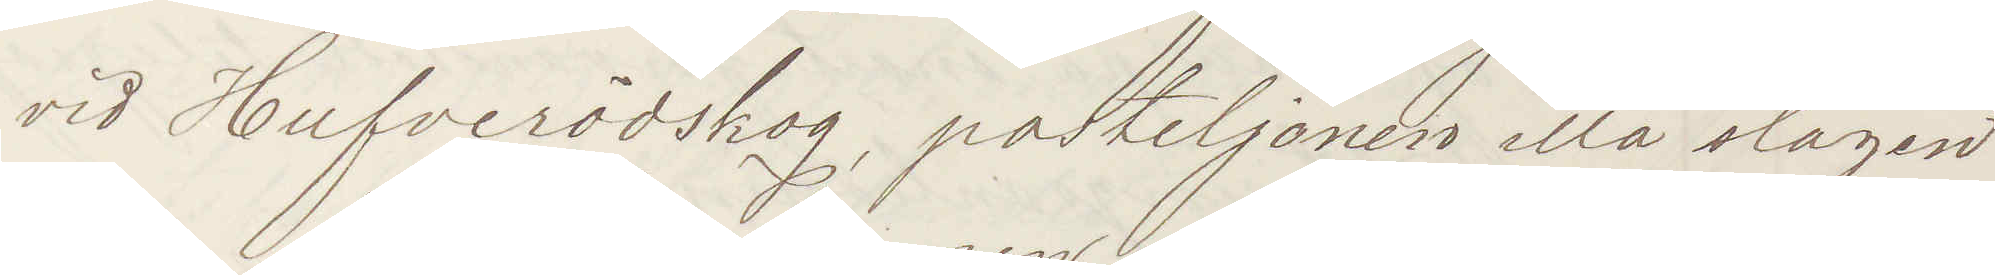vid Huferödskog, postiljonen illa slagen
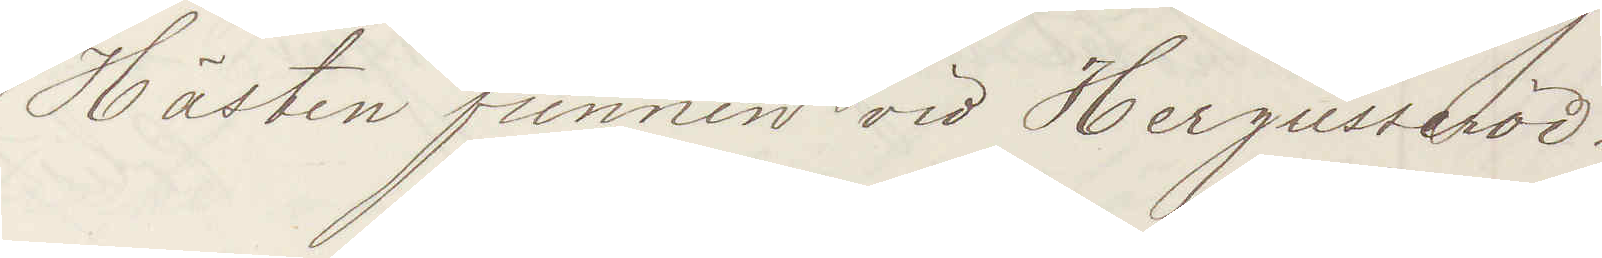Hästen funnen vid Hergusseröd.
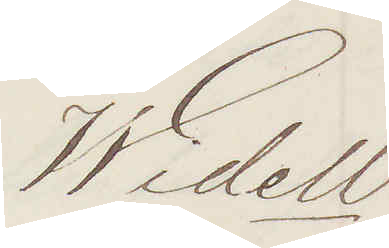Widell
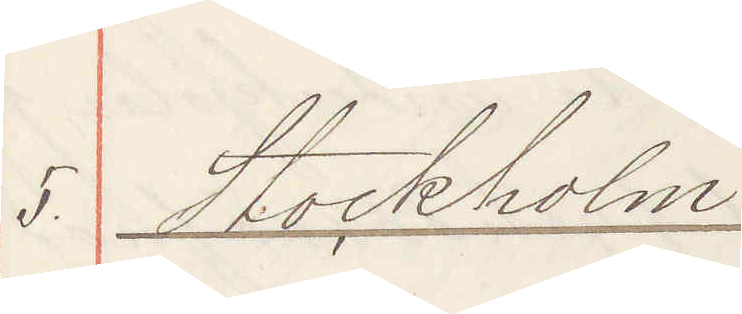5. Stockholm
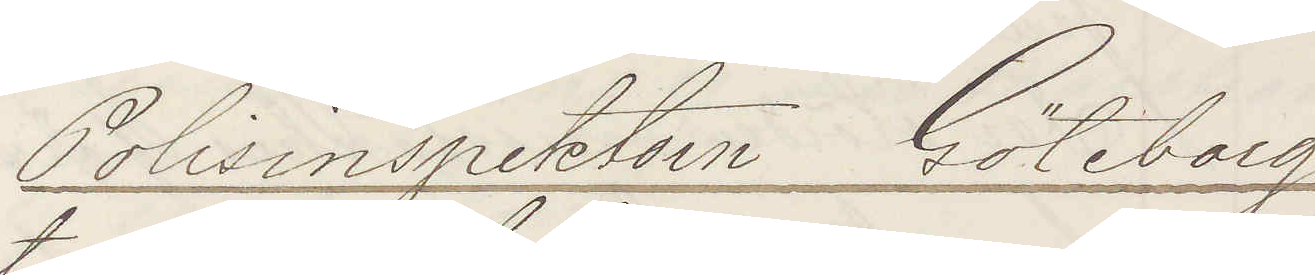Polisinspektorn Göteborg
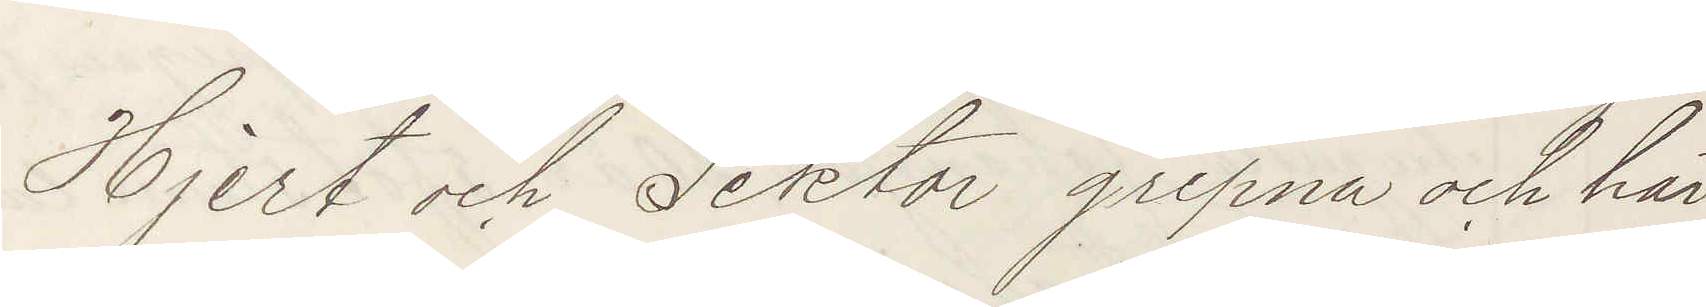Hjert och Tektor gripna och här
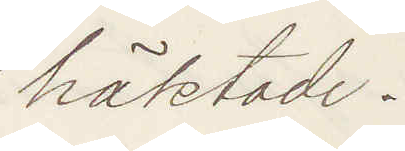häktade.
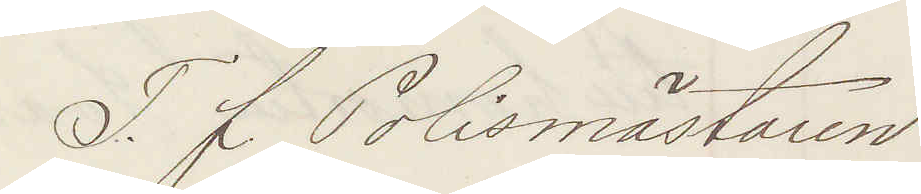T. f Polismästaren
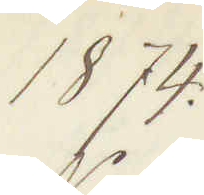1874.
